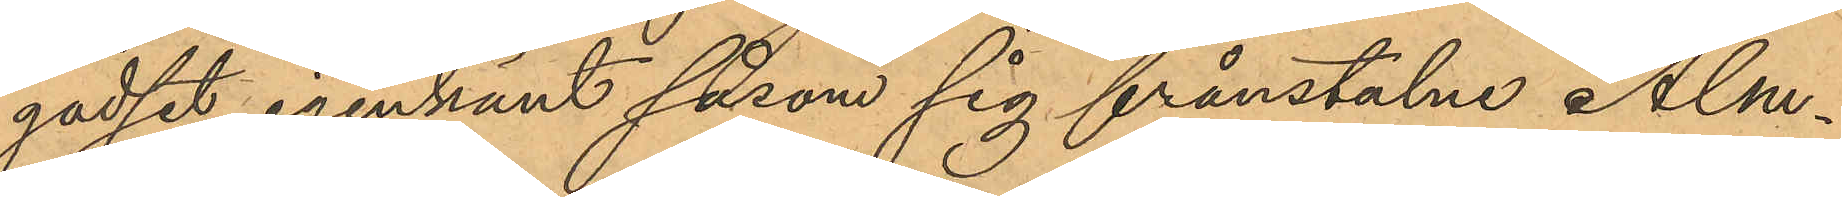godset igenkänt såsom sig frånstulne Alm¬
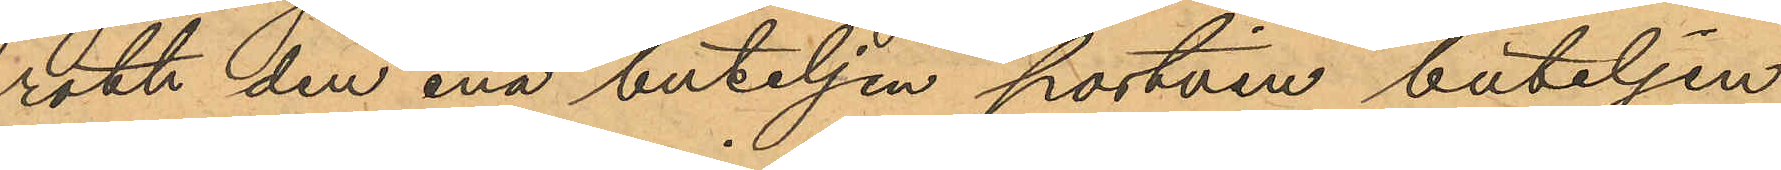roth den ena buteljen portvin buteljen
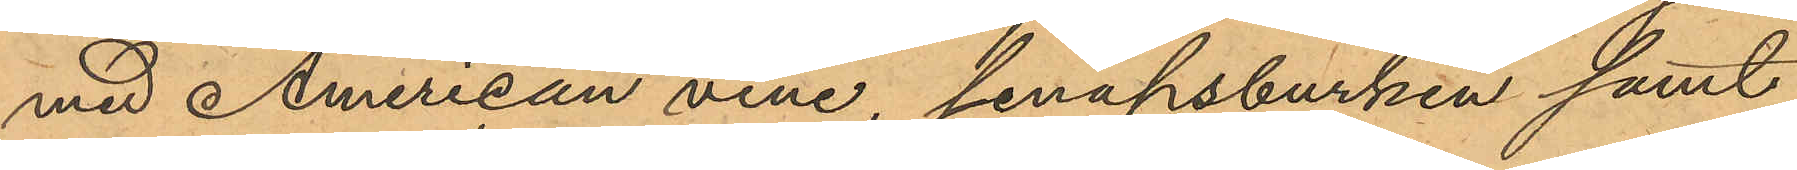med American vine, senapsburken samt
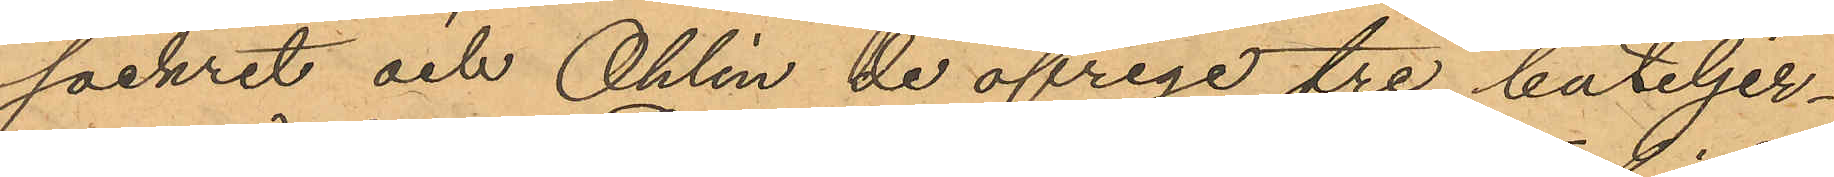sockret och Ohlin de öfriga tre buteljer¬
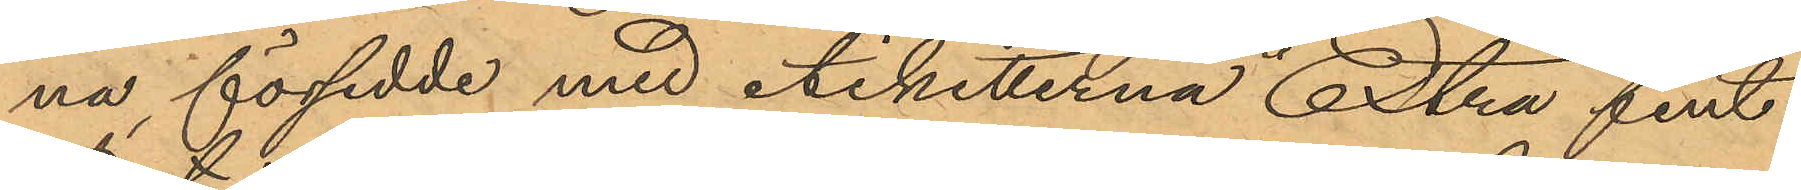na, försedde med etiketterna "Extra fint
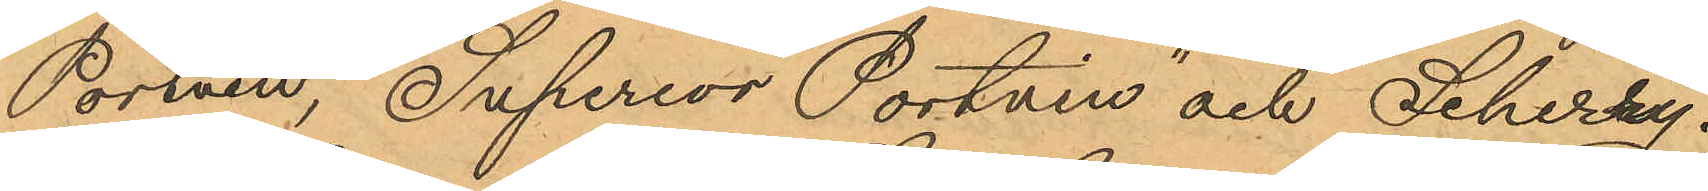Portvin", Superior Portvin" och Scherry.
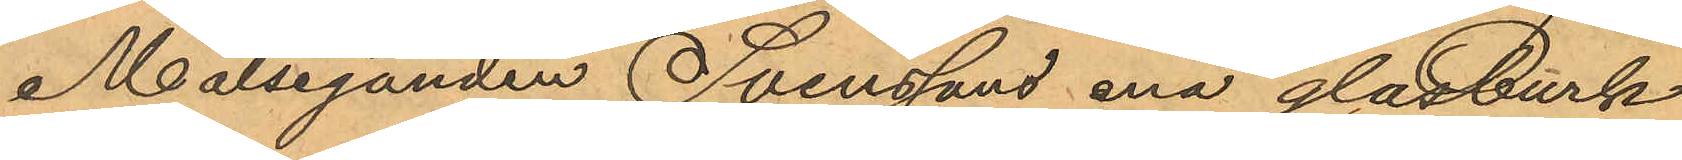Målseganden Svenssons ena glasburk
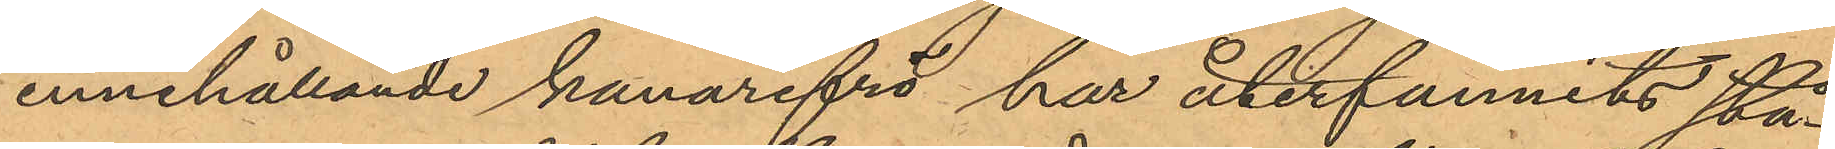innehållande kanarifrö har återfunnits stå¬
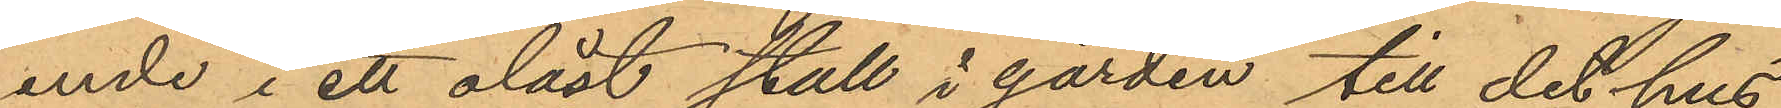ende i ett olåst stall i gården till det hus
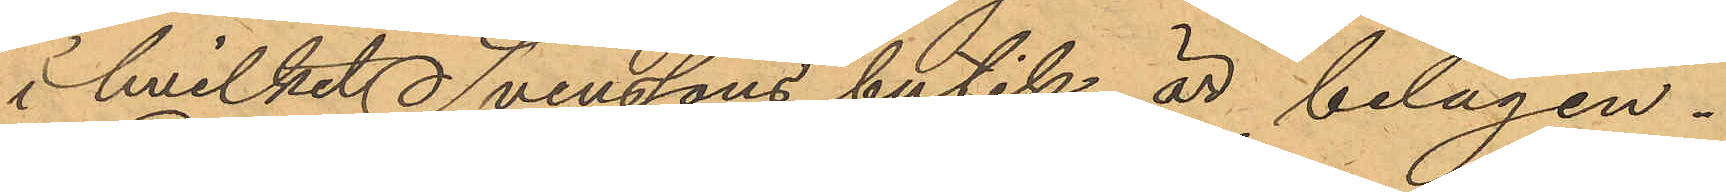i hvilket Svenssons butik är belägen.
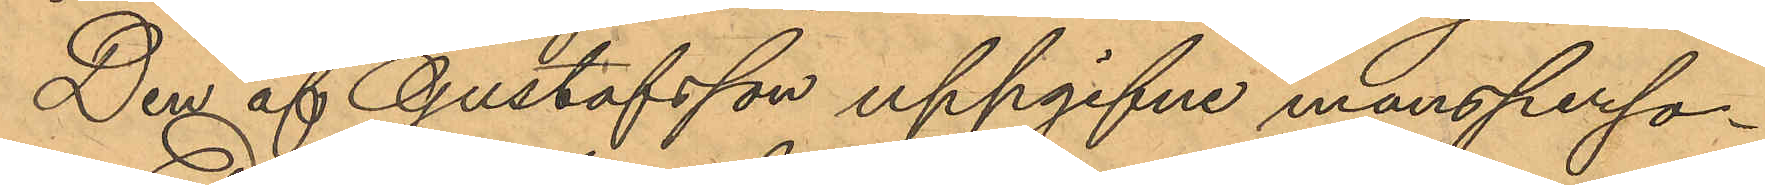Den af Gustafsson uppgifne mansperso¬
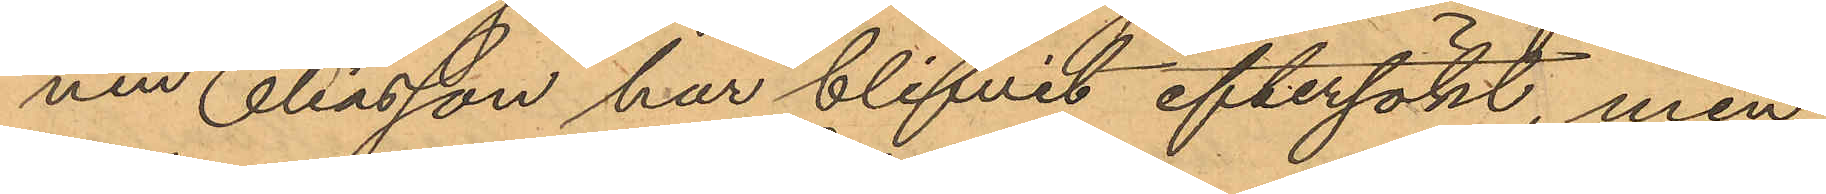nen Eliasson har blifvit eftersökt, men
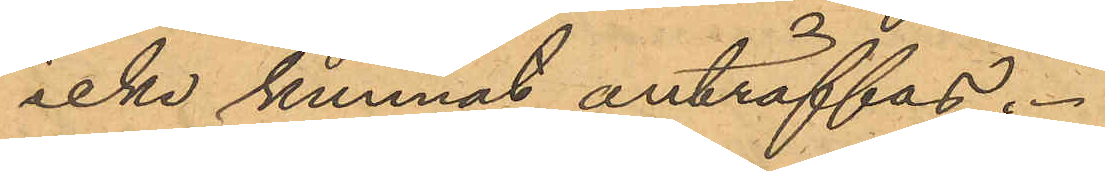icke kunnat anträffas.
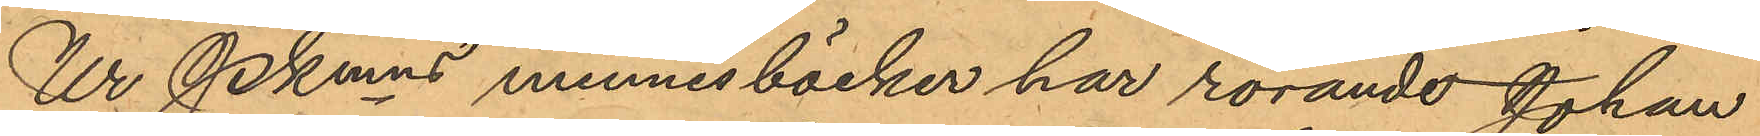Ur Pkmns minnesböcker har rorande Johan
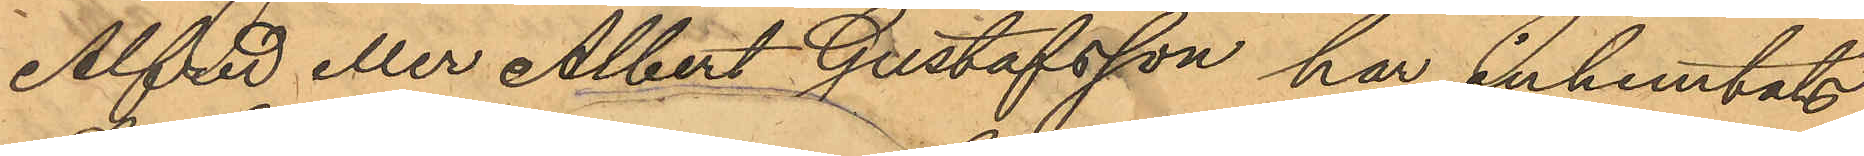Alfred eller Albert Gustafsson har inhemtats
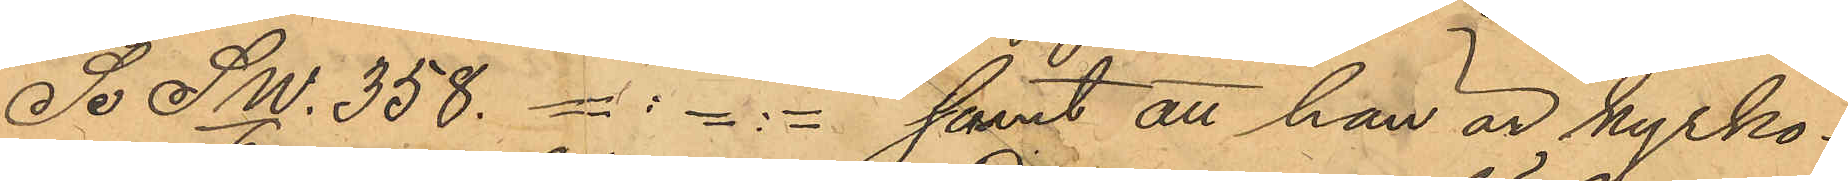Se Sw/6. 358. =:=:= samt att han är kyrko¬
